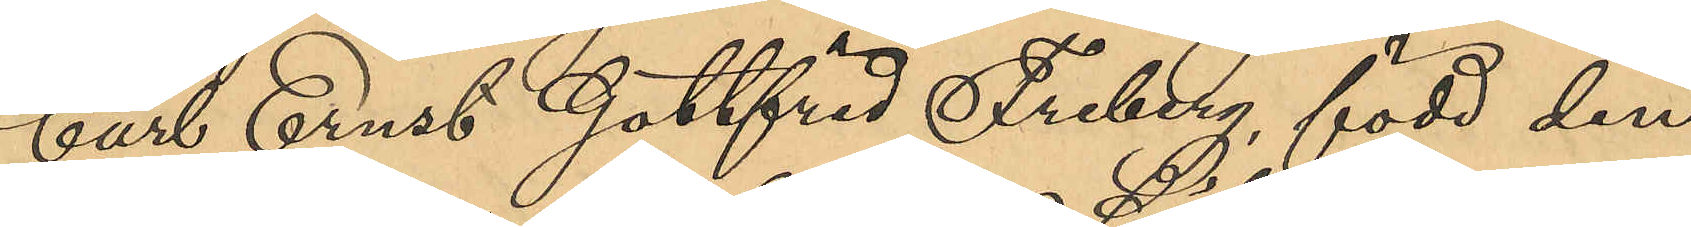Carl Ernst Gottfrid Friberg, född den
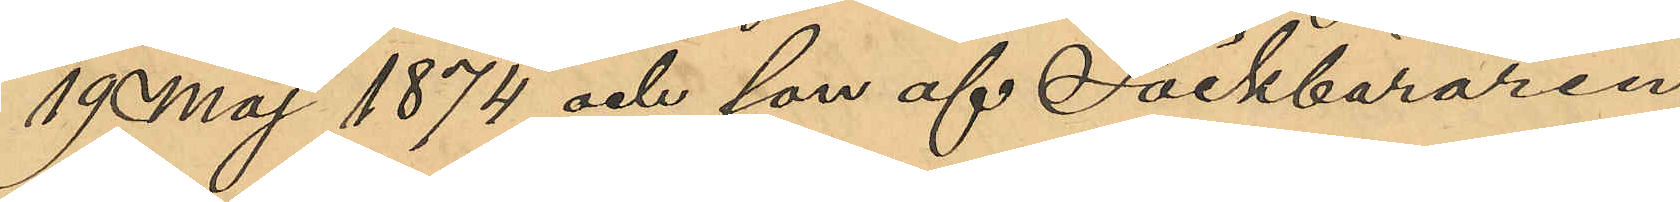19 Maj 1874 och son af Säckbäraren
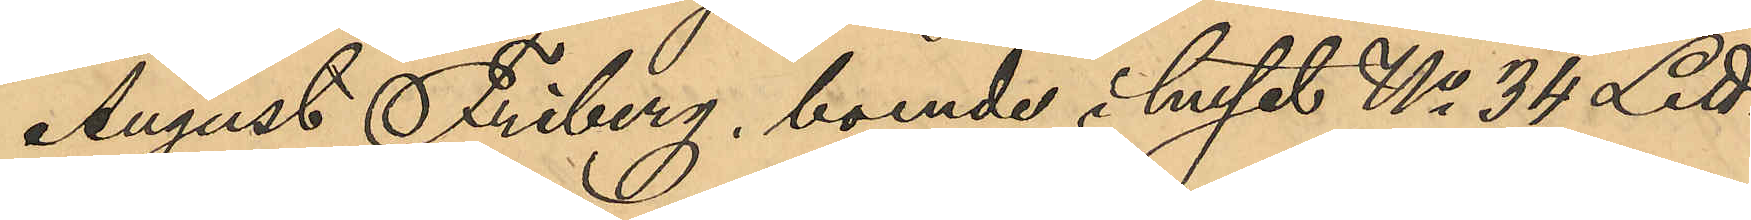August Friberg, boende i huset No 34 Litt.
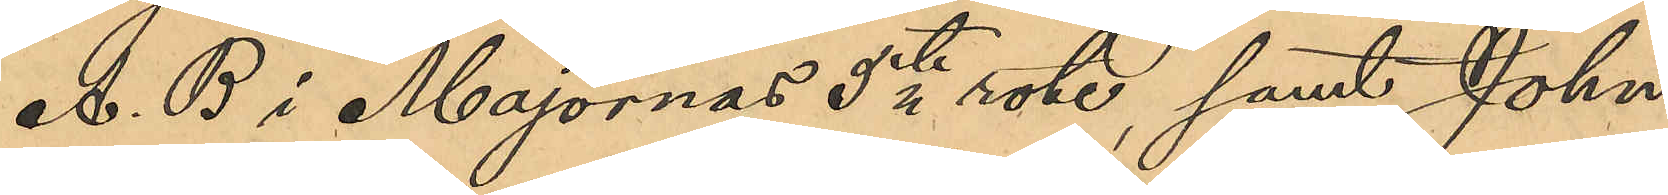A. B. i Majornas 5te rote, samt John
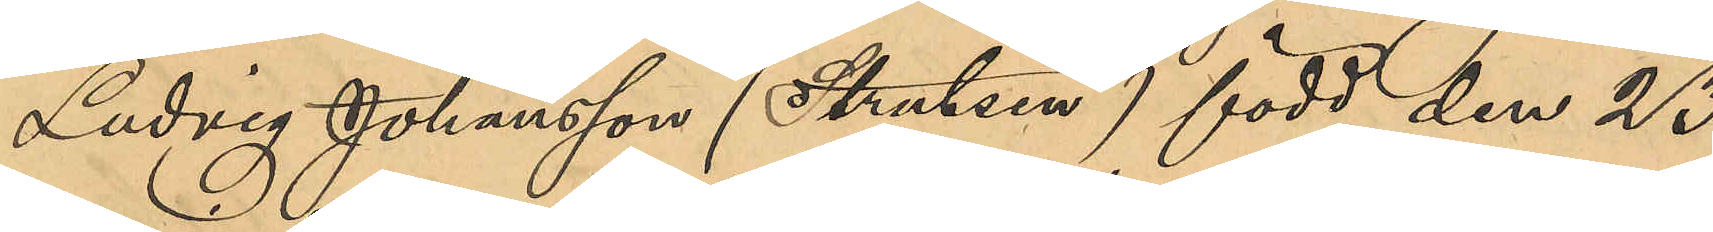Ludvig Johansson (Strutsen) född den 23
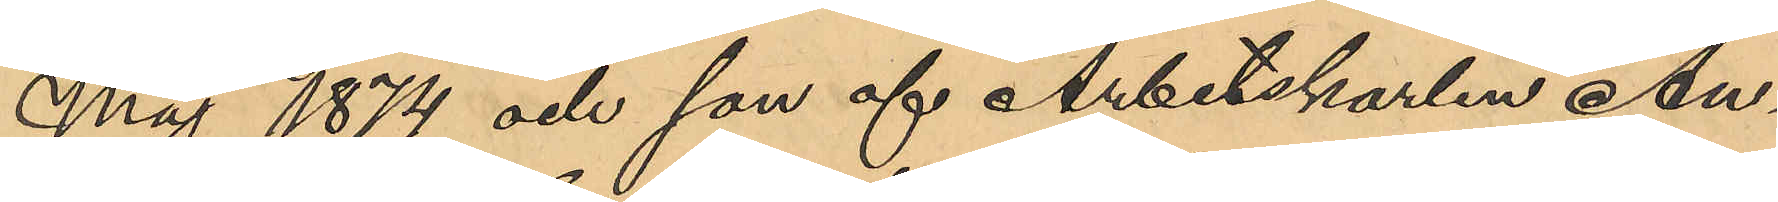Maj 1874 och son af Arbetskarlen An¬
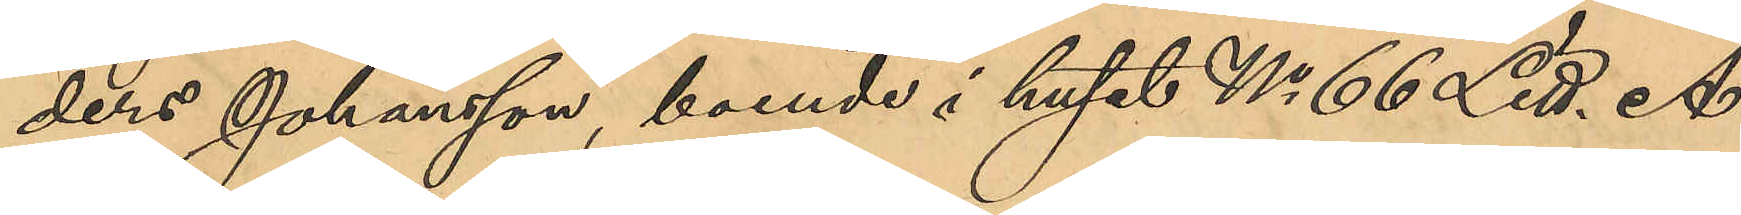ders Johansson, boende i huset No 66 Litt. A
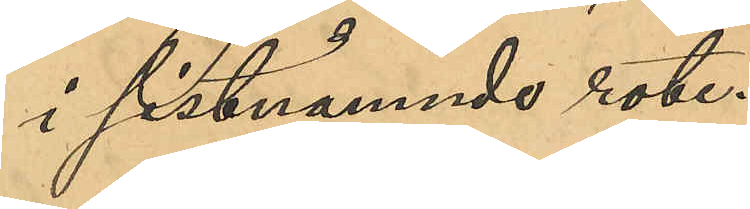i sistnämnde roten.
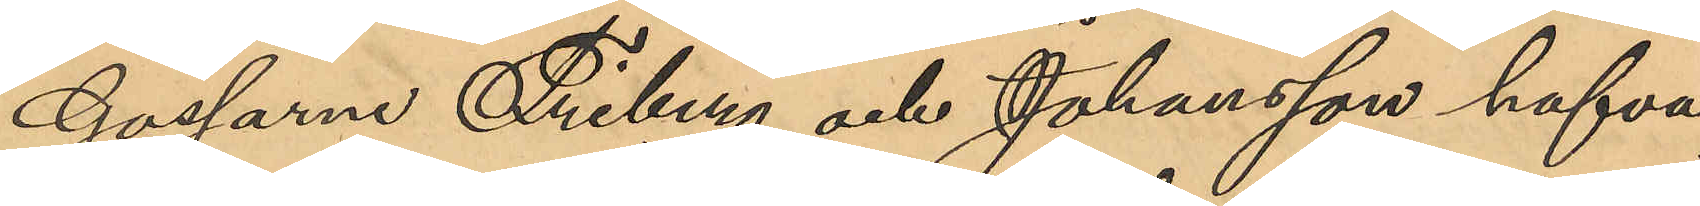Gossarne Friberg och Johansson hafva
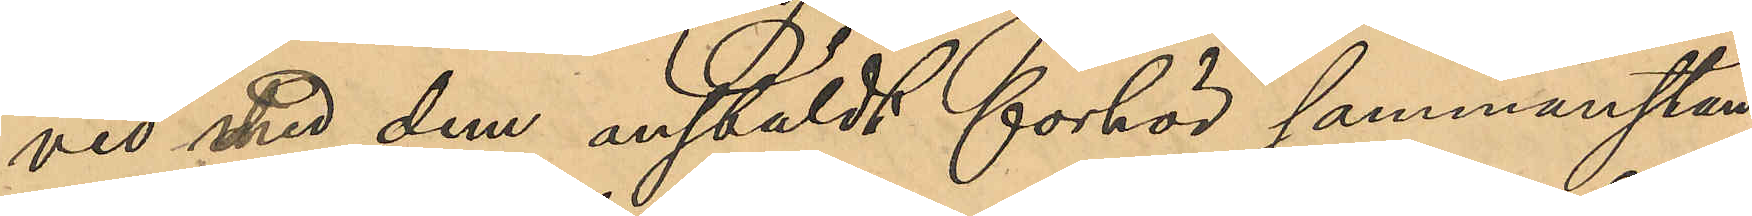vid med dem anstäldt förhör sammanstäm¬
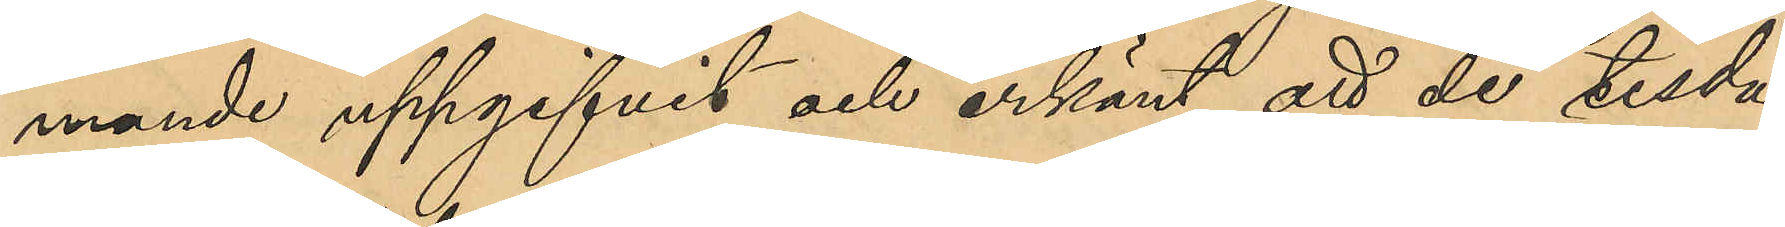mande uppgifvit och erkänt, att de tisda¬
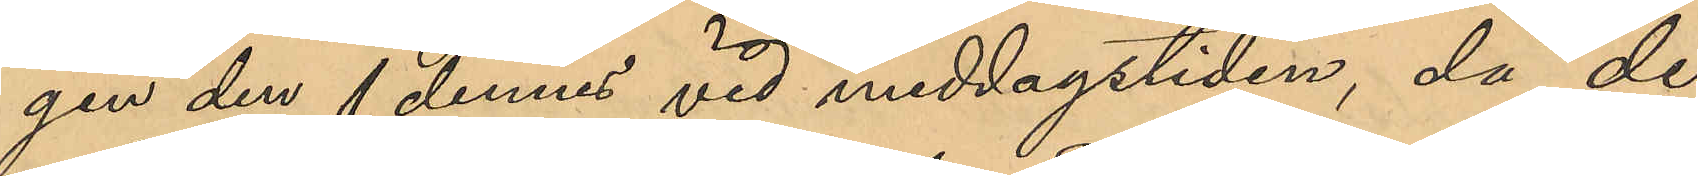gen den 1 dennes vid middagstiden, då de
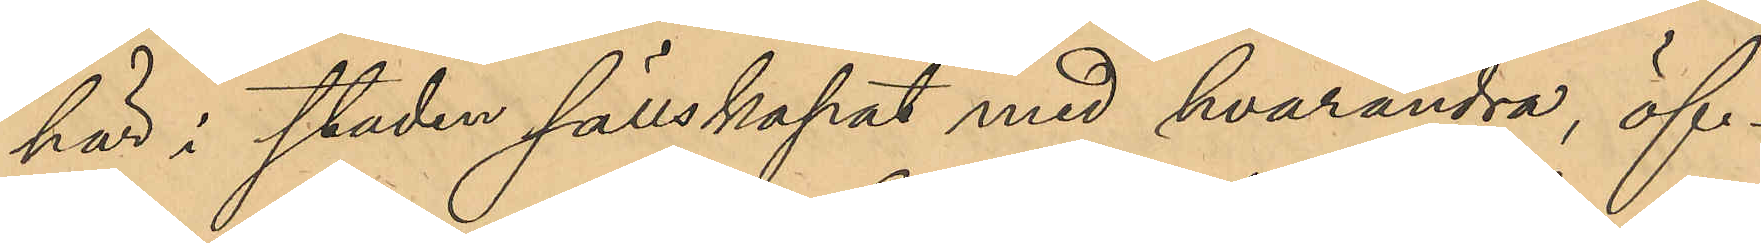här i staden sällskapat med hvarandra, öf¬
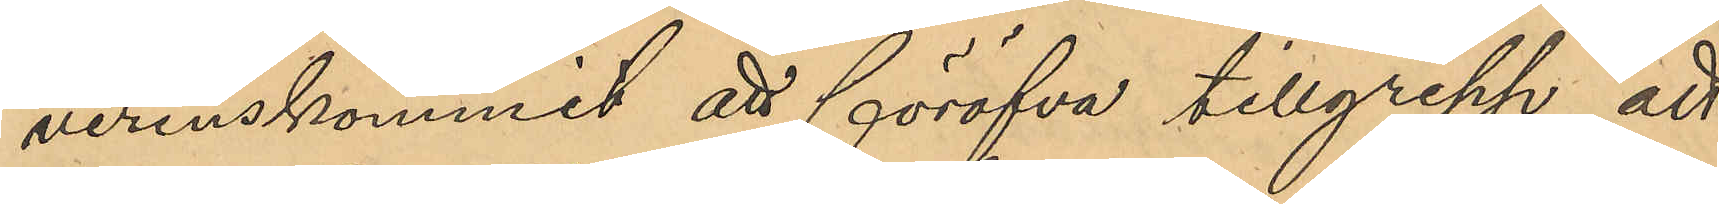verenskommit att föröfva tillgrepp, att
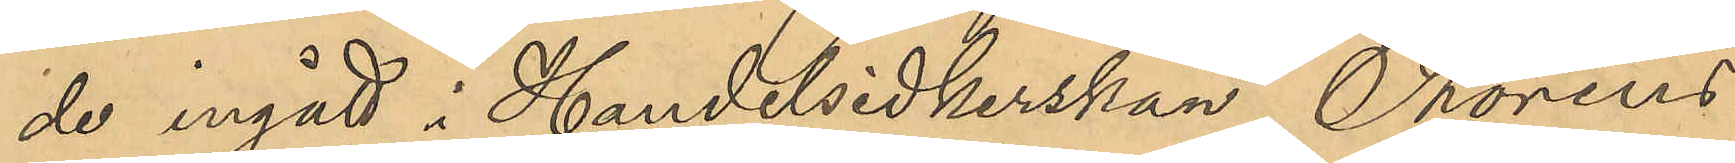de ingått i Handelsidkerskan Thoréns
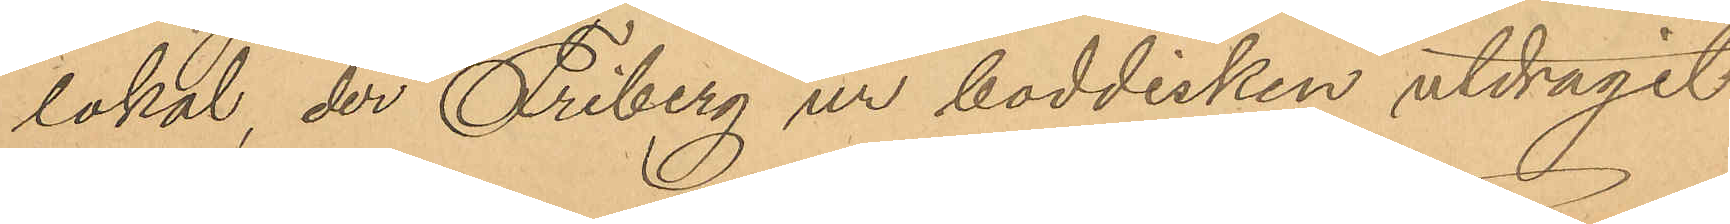lokal, der Friberg ur boddisken utdragit
